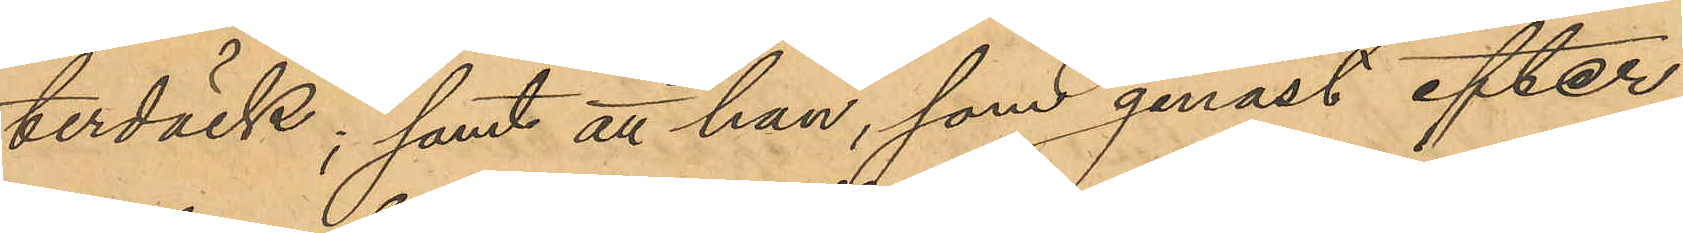terdäck; samt att han, som genast efter
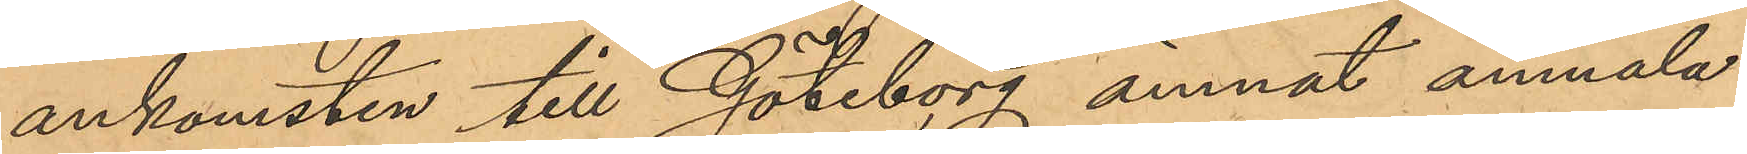ankomsten till Göteborg ämnat anmäla
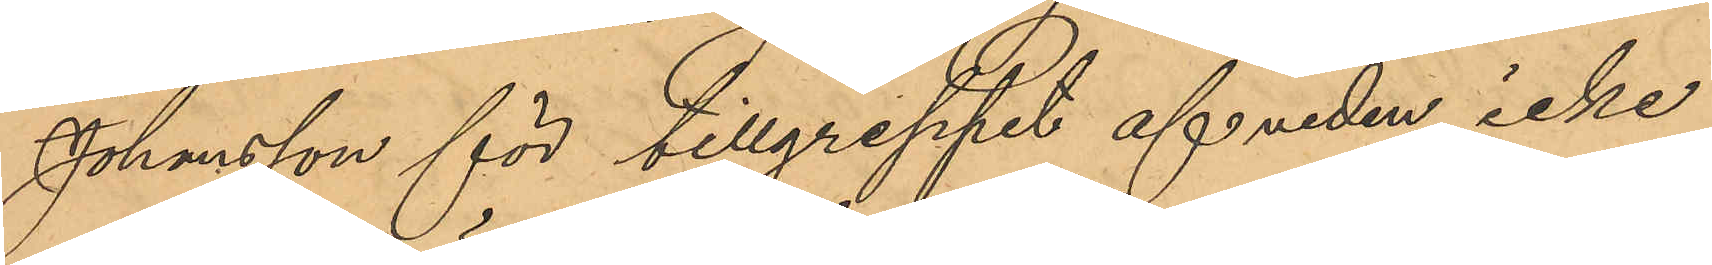Johansson för tillgreppet af veden, icke
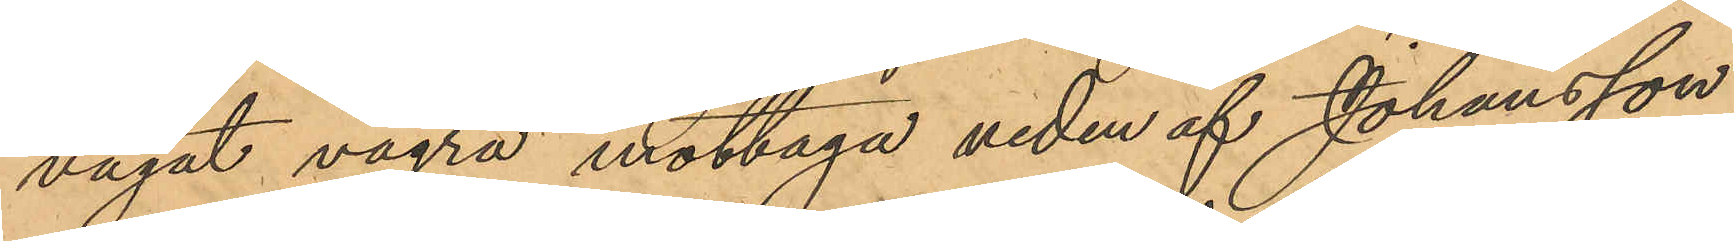vågat vägra mottaga veden af Johansson,
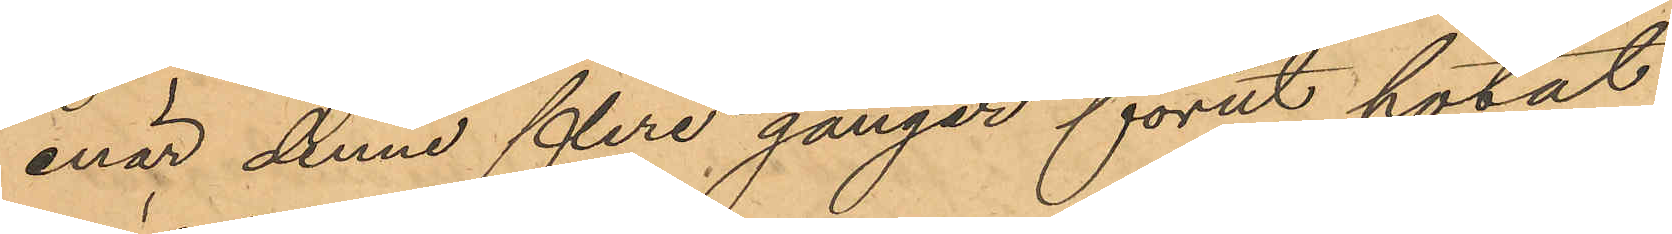enär denne flere gånger förut hotat
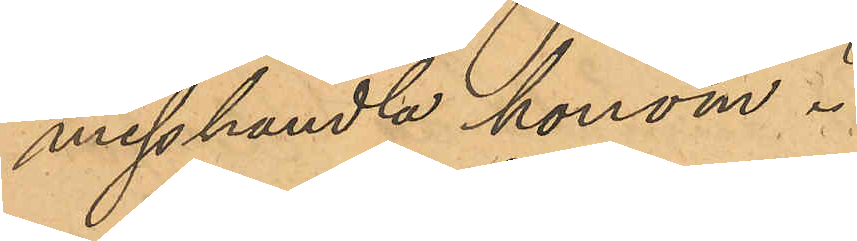misshandla honom.
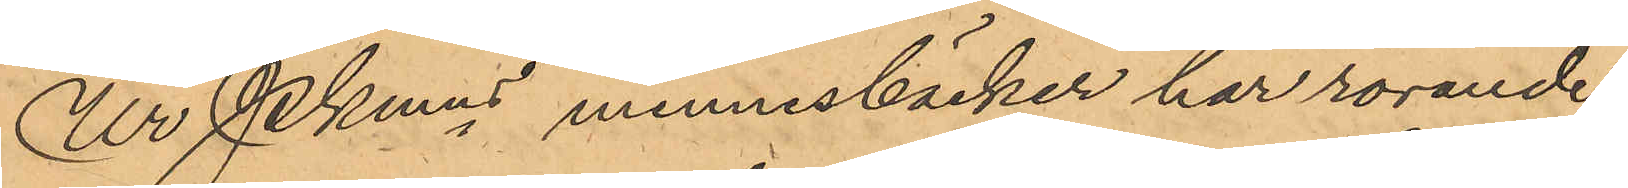Ur Pkmns minnesböcker har rörande
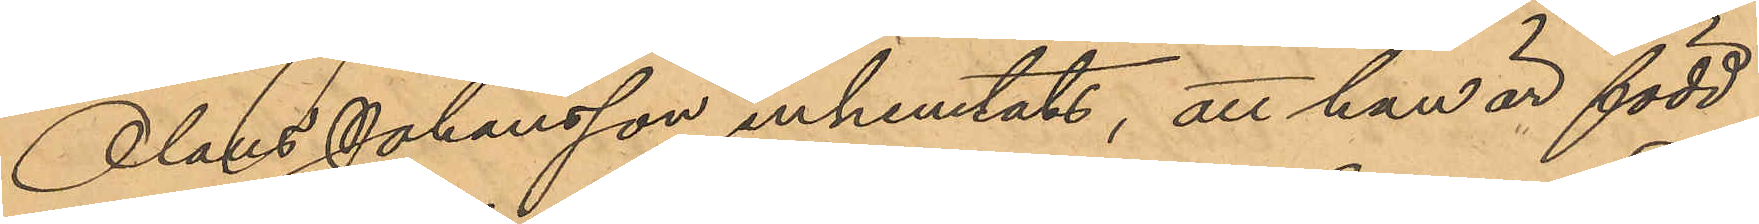Olaus Johansson inhemtats, att han är född
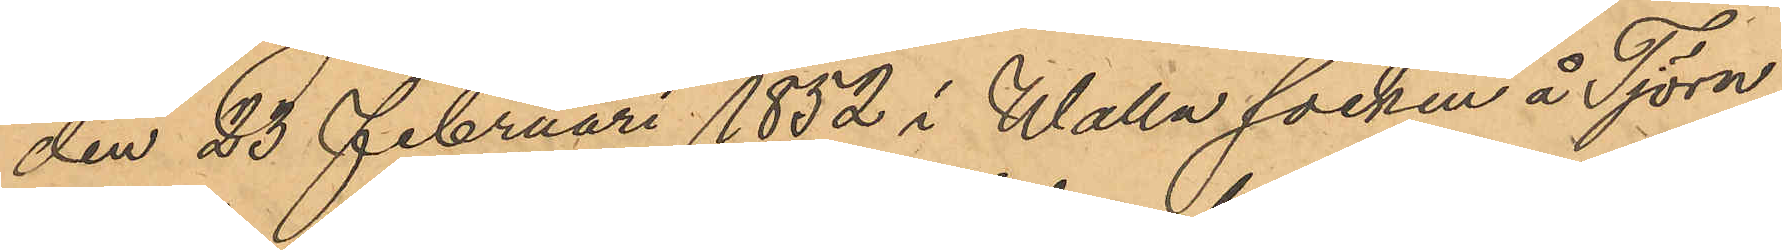den 23 Februari 1852 i Walla socken å Tjörn,
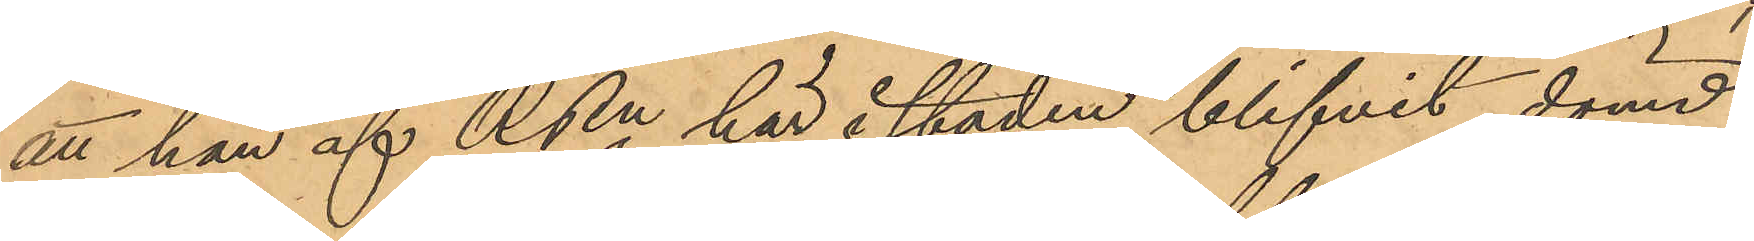att han af RRn här i staden blifvit dömd
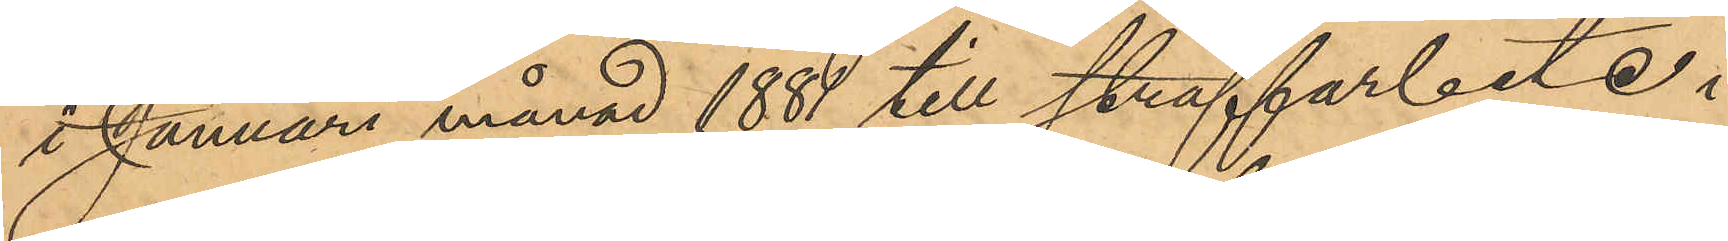i Januari månad 1881 till straffarbete i
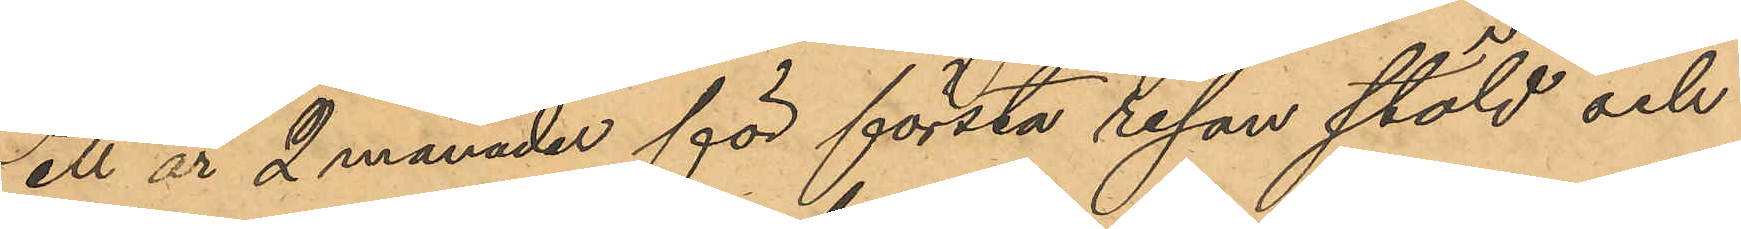ett år 2 månader för första resan stöld och
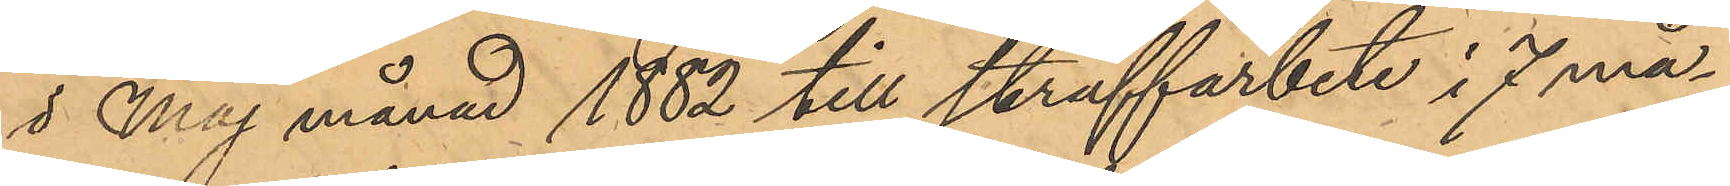i Maj månad 1882 till straffarbete i 7 må¬
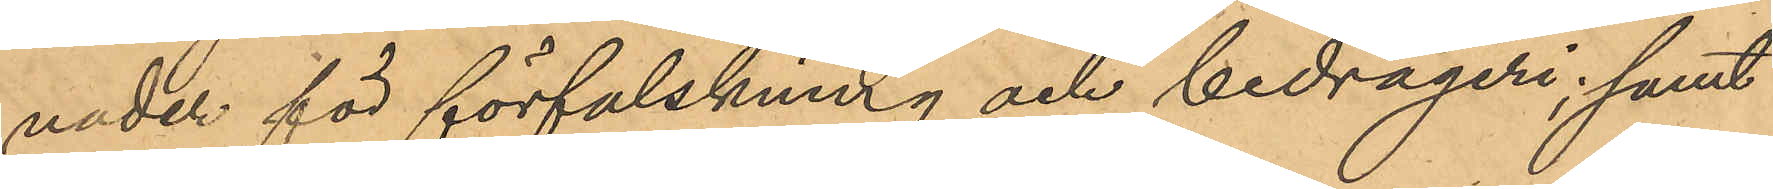nader för förfalskning och bedrägeri; samt
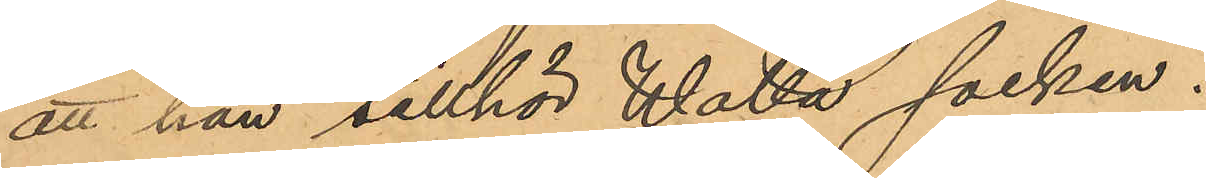att han tillhör Walla socken.
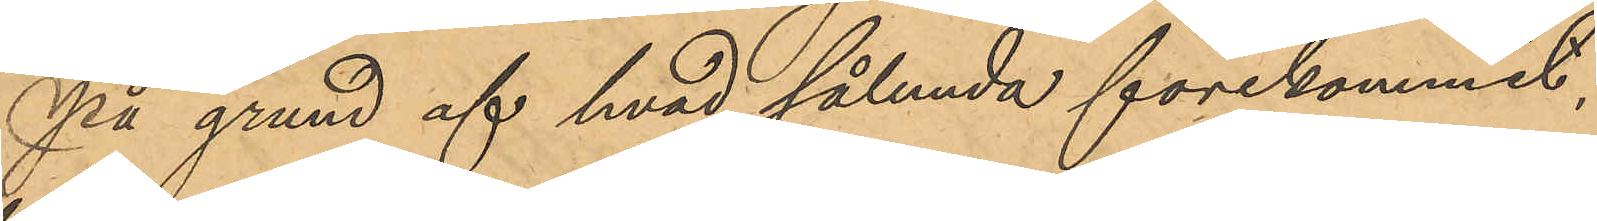På grund af hvad sålunda förekommit,
